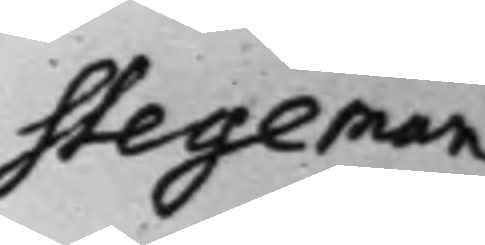Stegeman
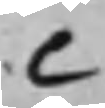C
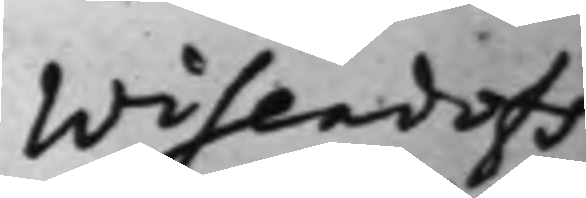Wisendorfs
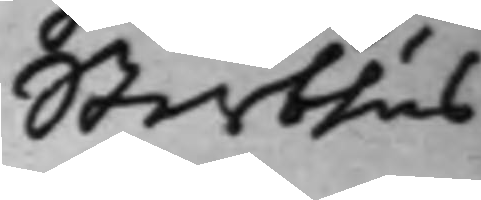Sterbhus
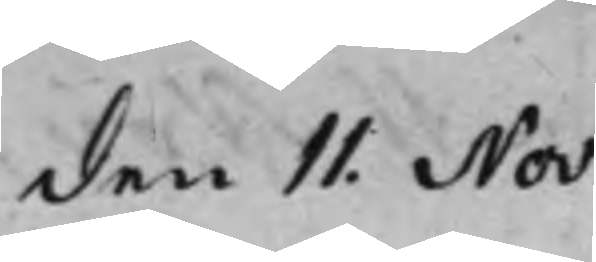den 11 Nov:
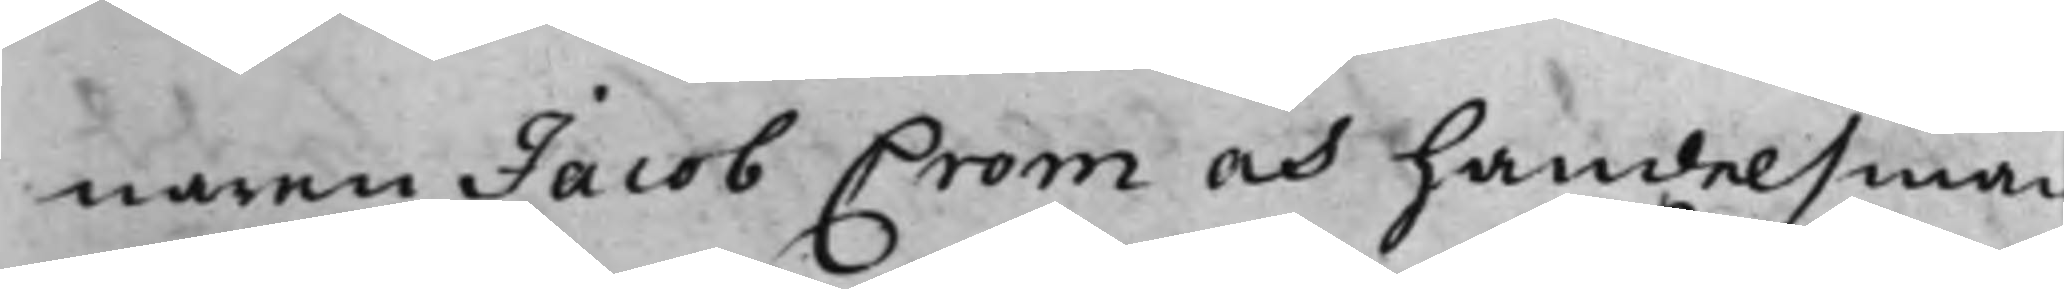naren Jacob Crom och handelsman
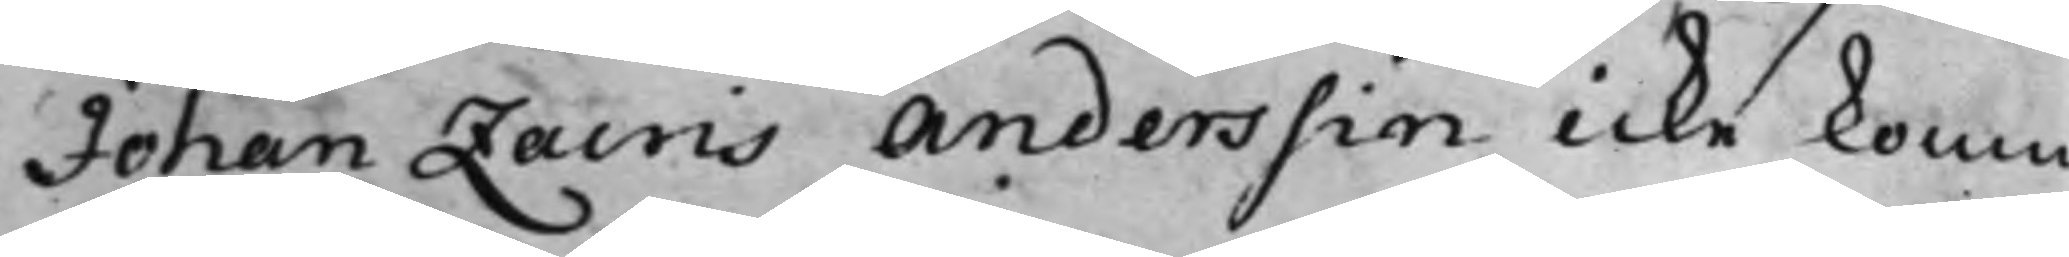Johan Zacris Anderssin icke komn
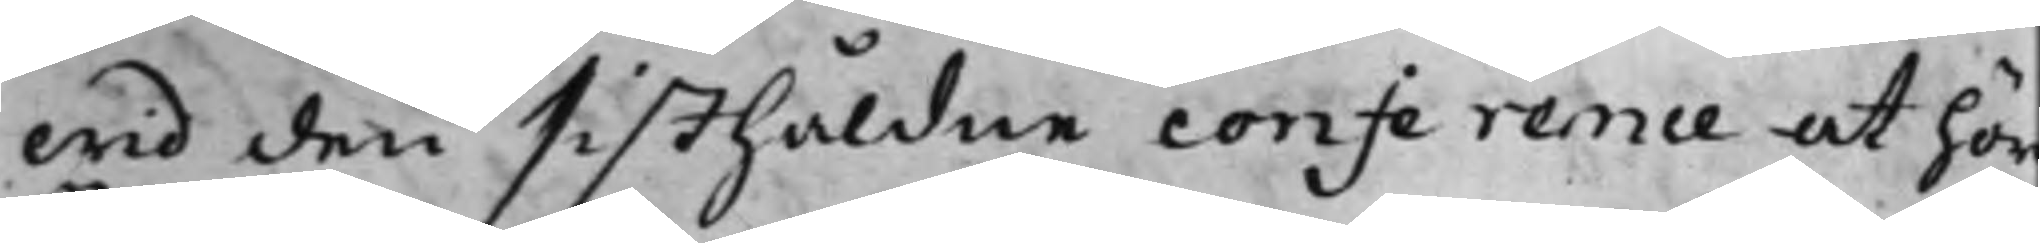wid den sisthåldne conference at hör
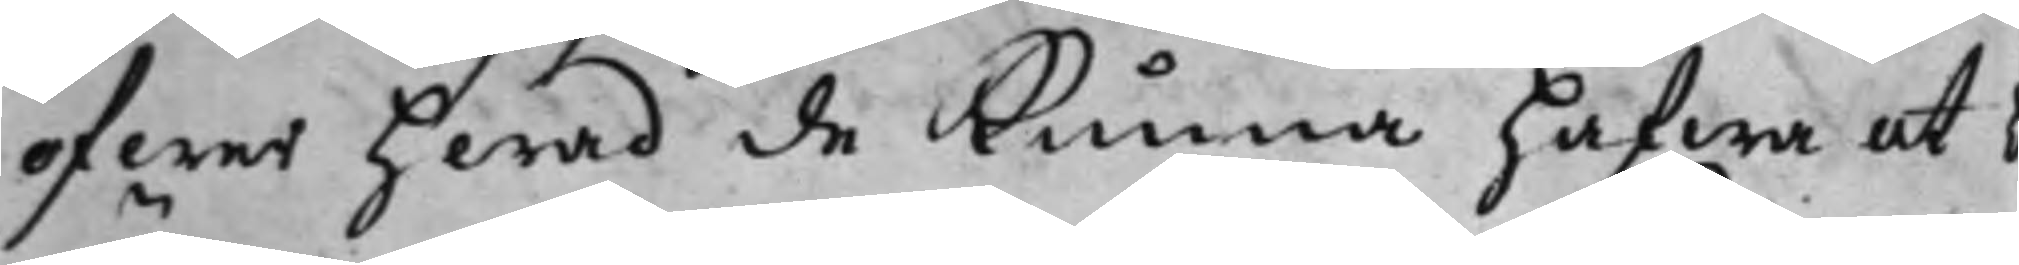öfwer hwad de Kunna hafwa at b
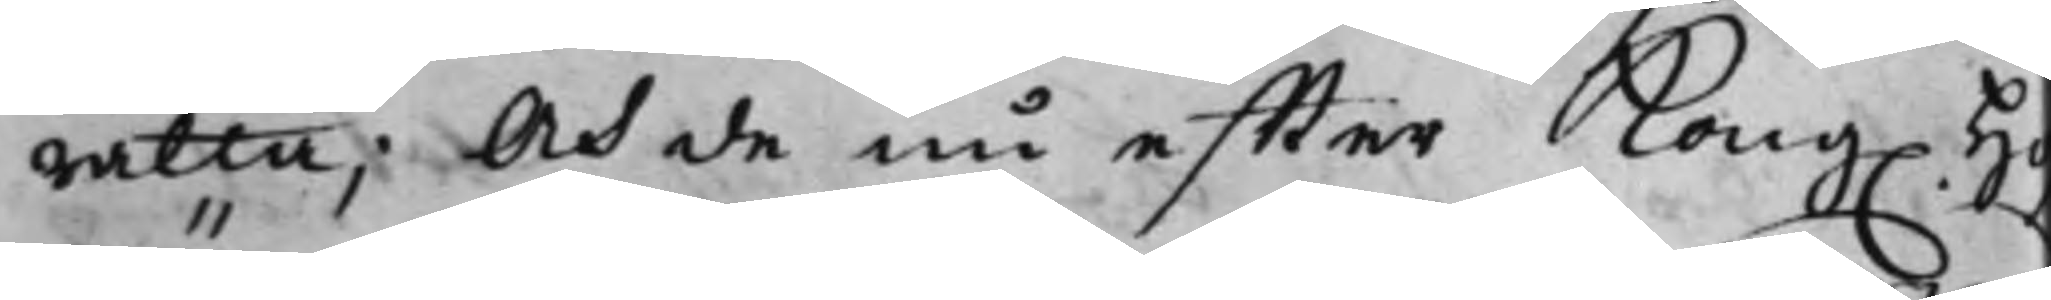rätta; Och de nu effter Kong. Hof¬
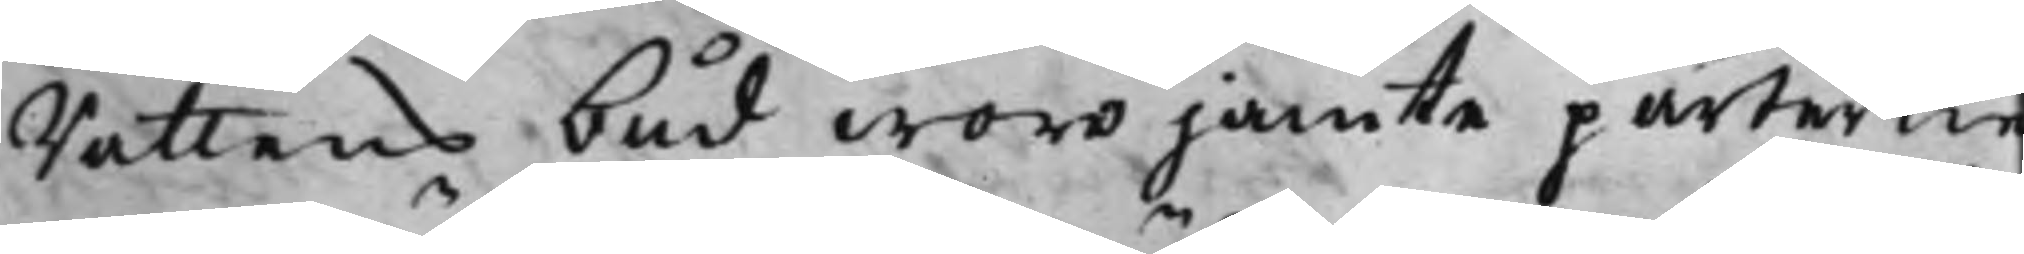Rättens bud woro jämte parterne
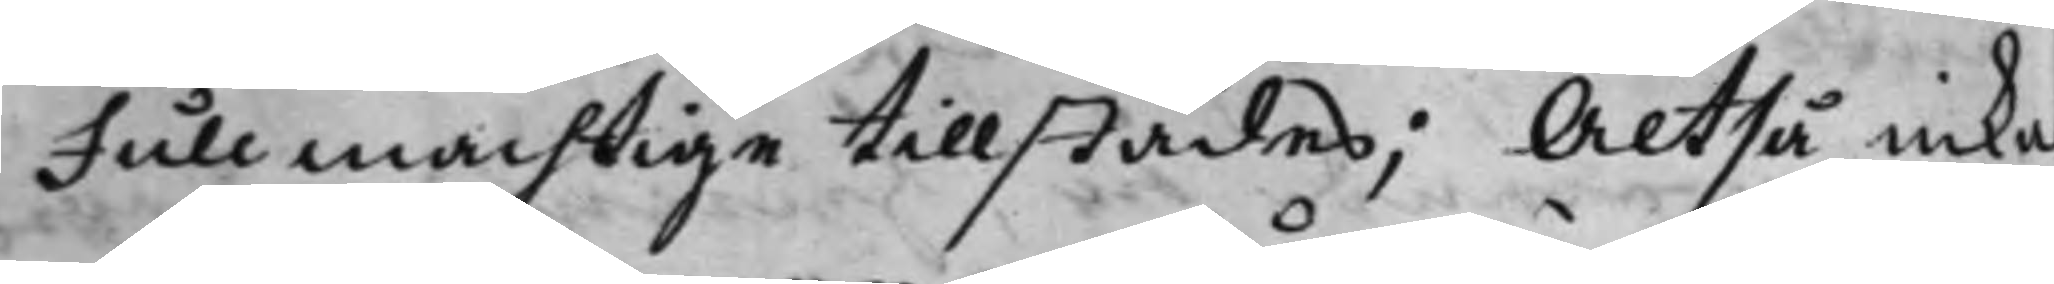Fullmächtige tillstädes; Altså inkal¬
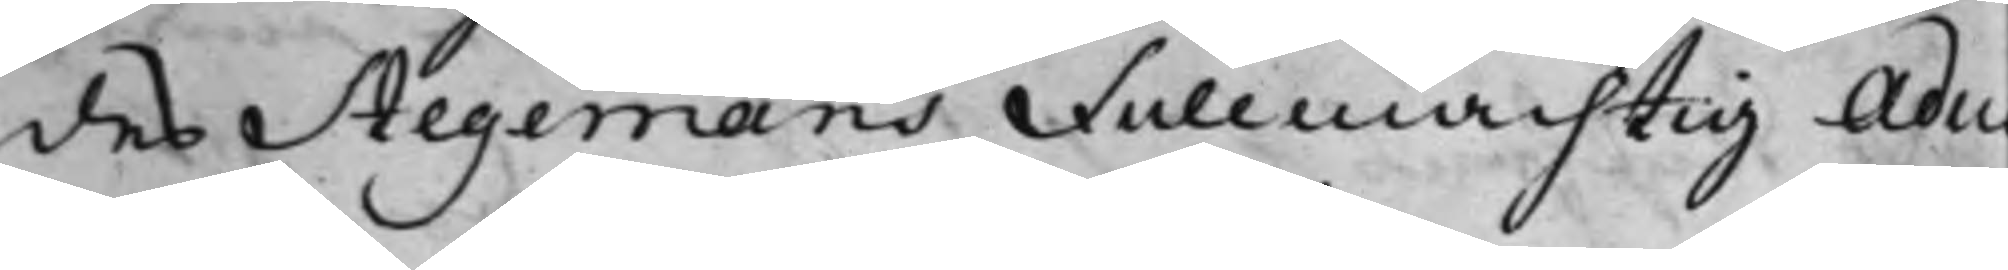des Stegemans Fullmächtig Advo¬
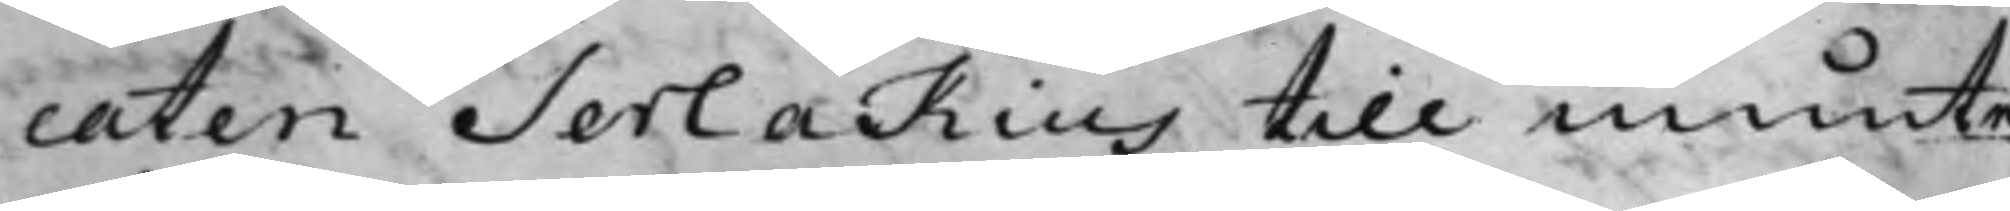caten Serlakius till munte
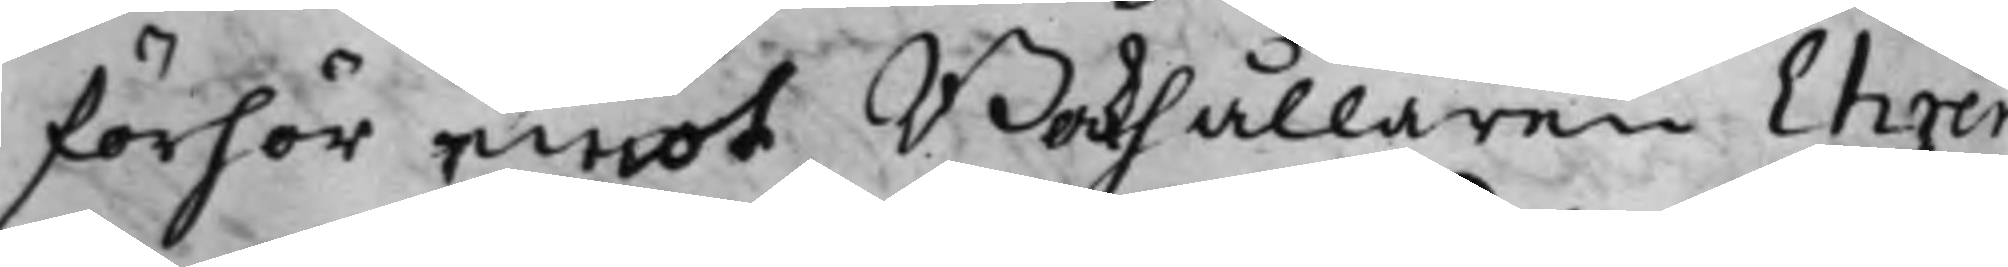förhör emot Bokhållaren Ehren¬
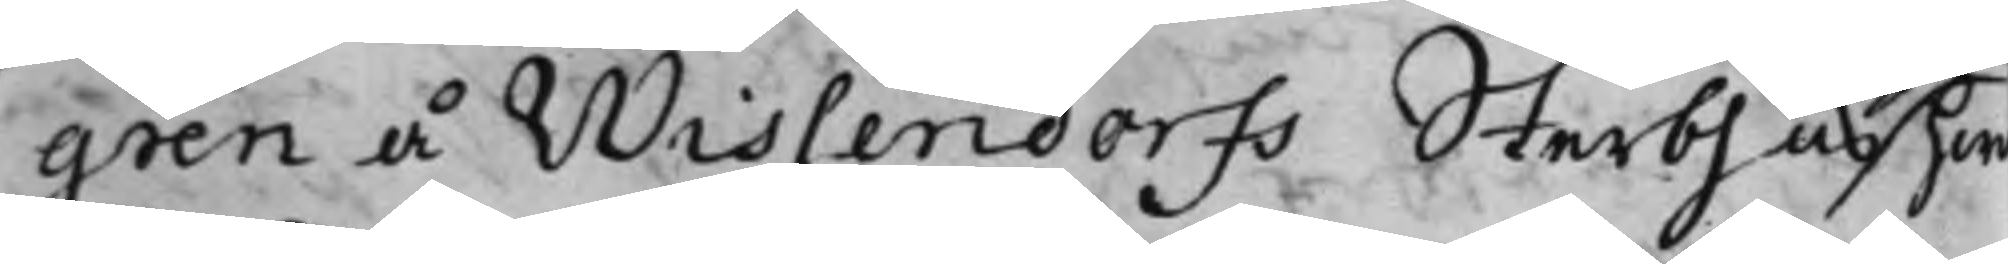gren å Wissendorfs Sterbhus hwa¬
